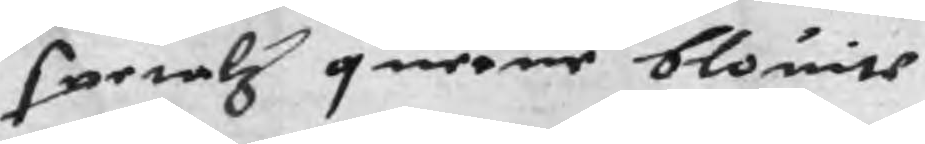spetalz quernen blouite
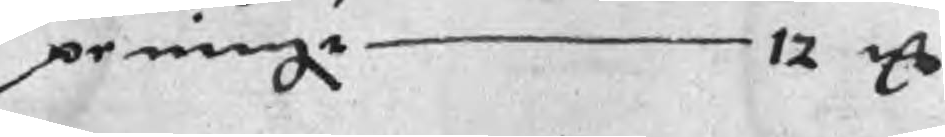peningr 12 mC
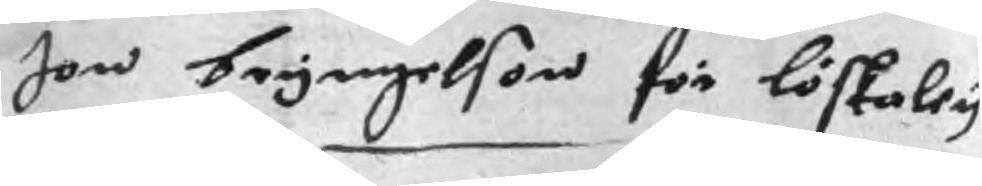Jon Bryngelson för löskaley
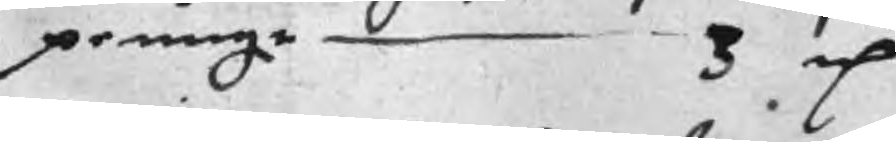peningr 3 mC
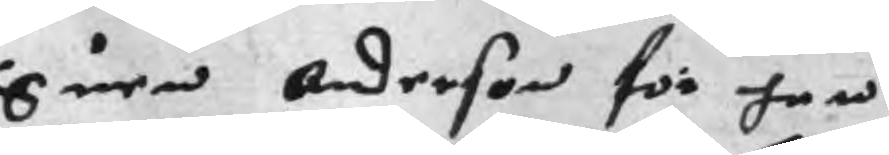Suen Anderson för han
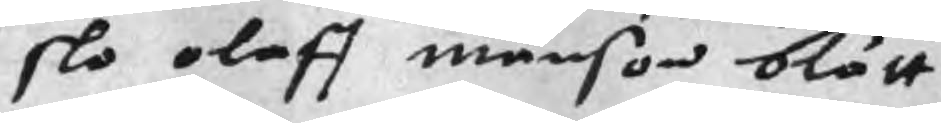slo olaff Månson blått
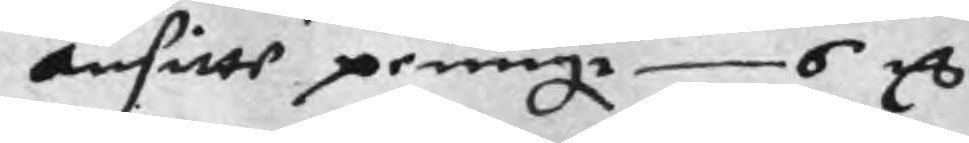ansitte peningr 6 mC
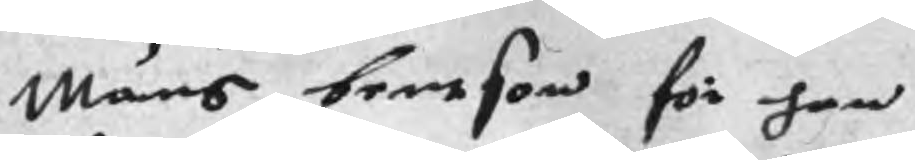Måns bentson för han
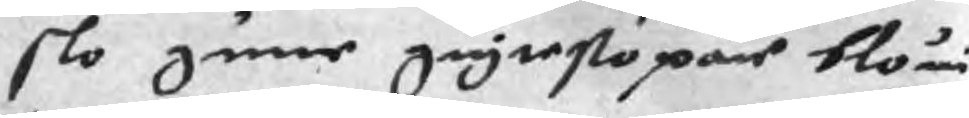slo gunne giytestopar bloui
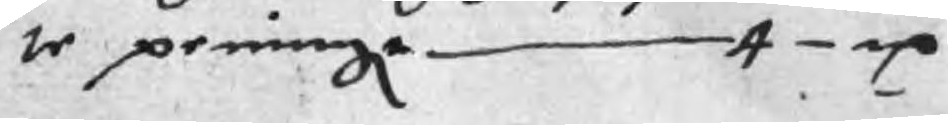te peningr 4 mC
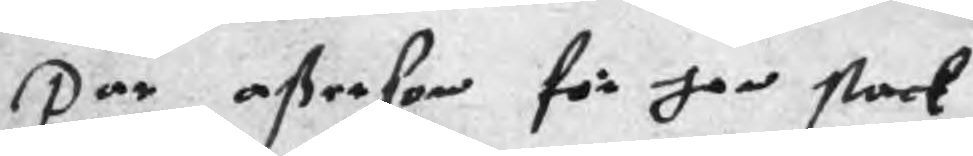Par aßerson för han stack
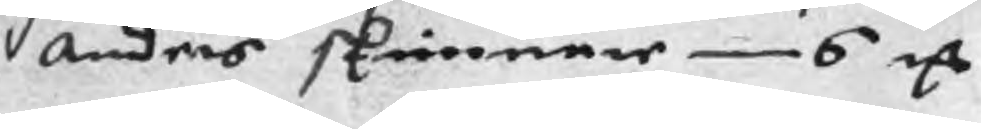Anders skinnere 6 mC
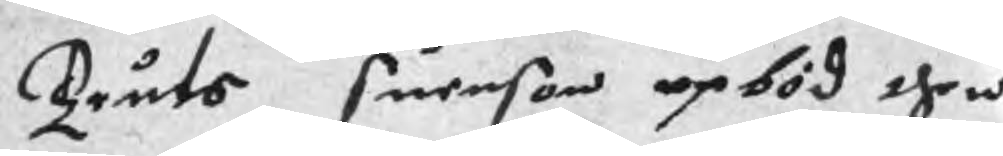Truts Suenson upböd then
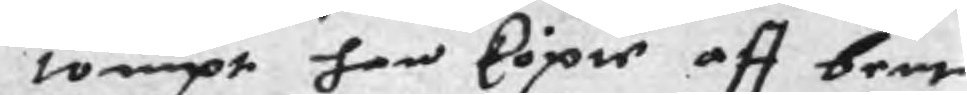tompt han köpie aff bent
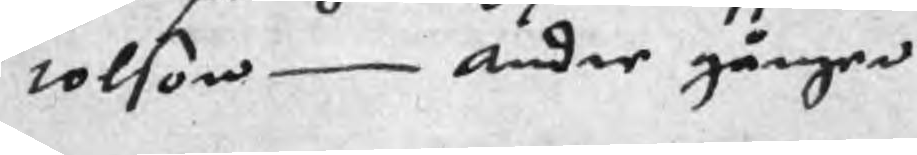tolson Andre gången
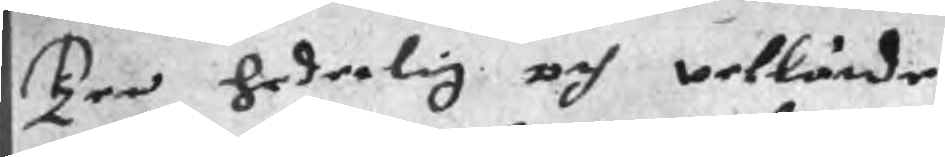Ten hederlig och wellärde
